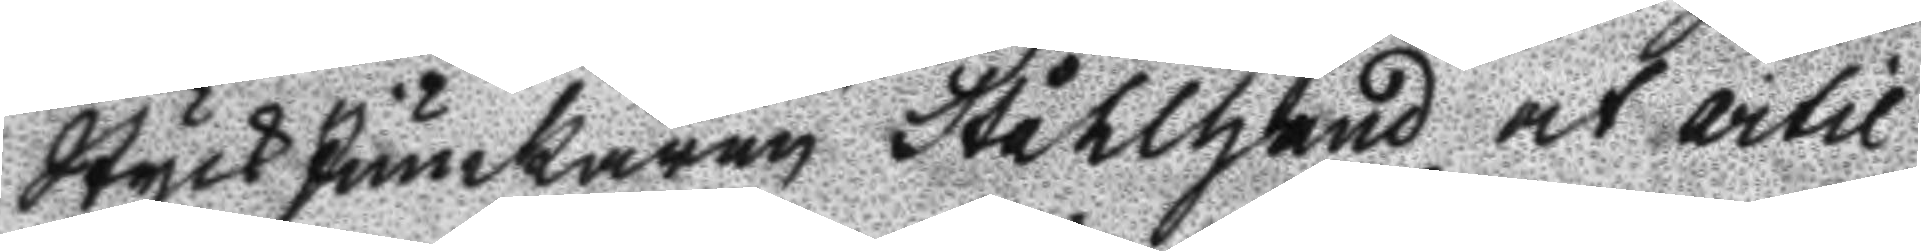StyckJunckaren Ståhlhand at artil
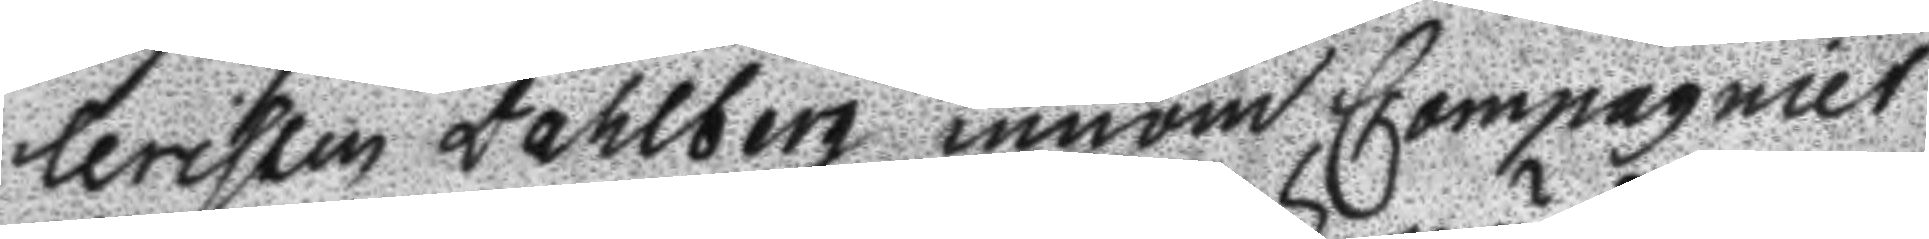leristen Dahlberg inom Compagniet
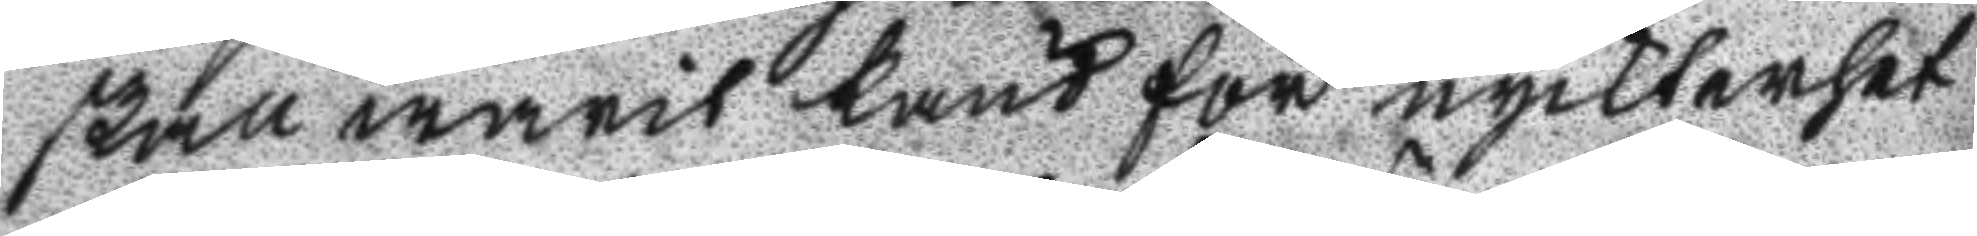skall warit känd för nyckterhet
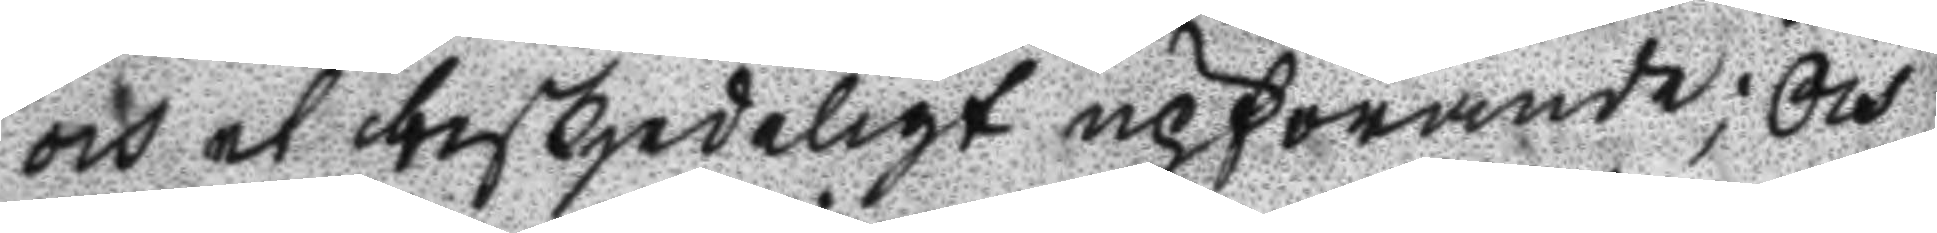och et beskjedeligt upförande; Och
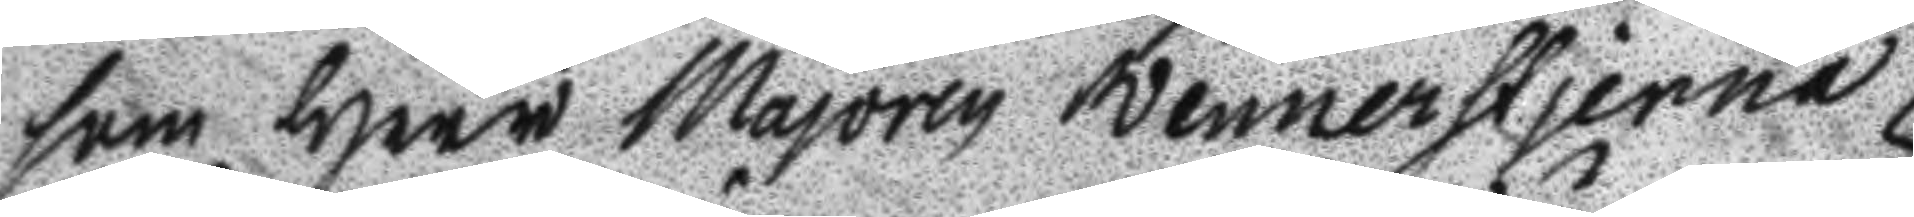som Herr Majoren Wennerstjerna
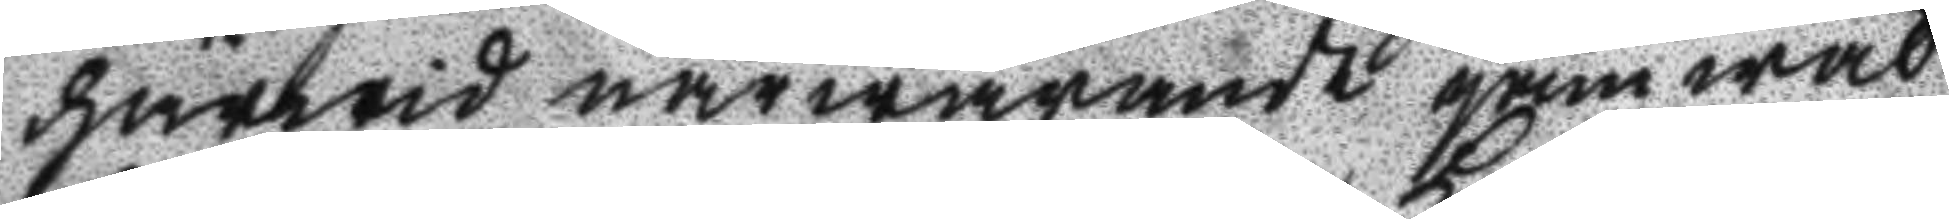härwid närwarande gämwäl
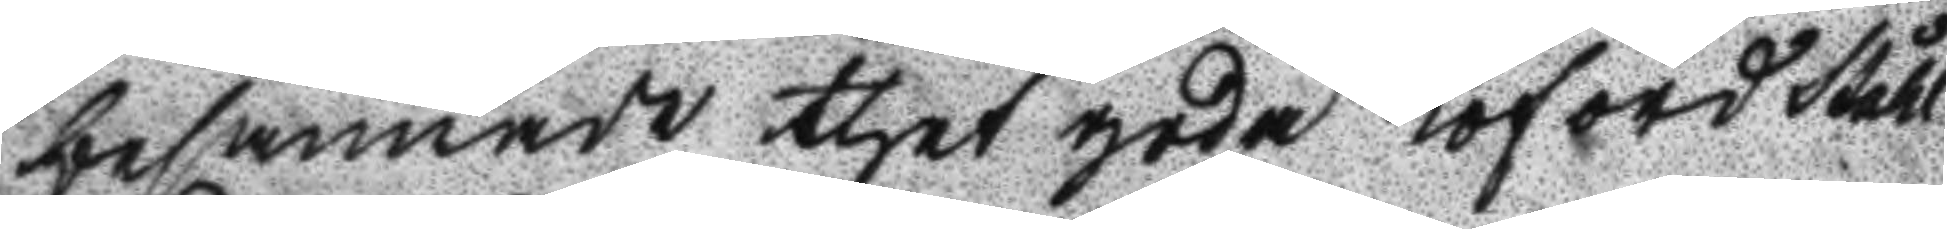besannade thet goda Loford Ståhl
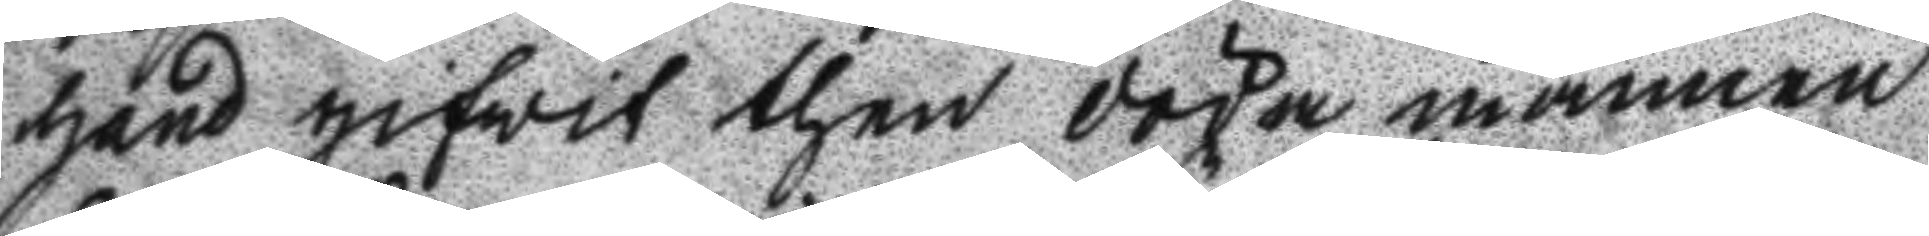hand gifwit then döda mannen
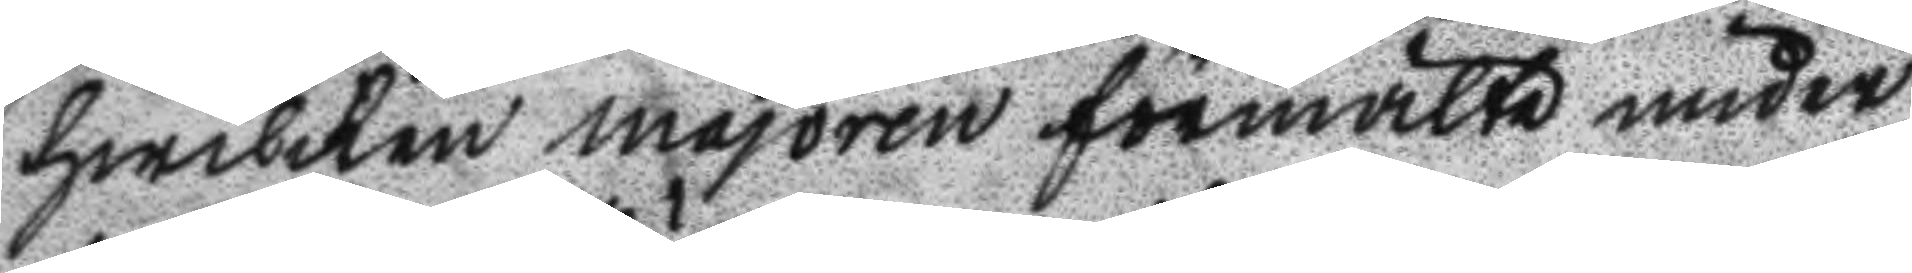hwilken majoren förmälte under
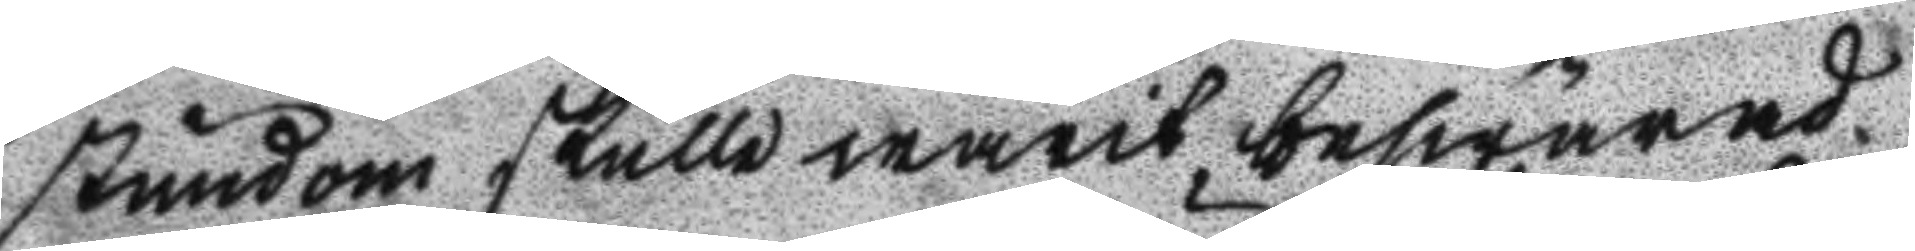stundom skulle warit beswärad
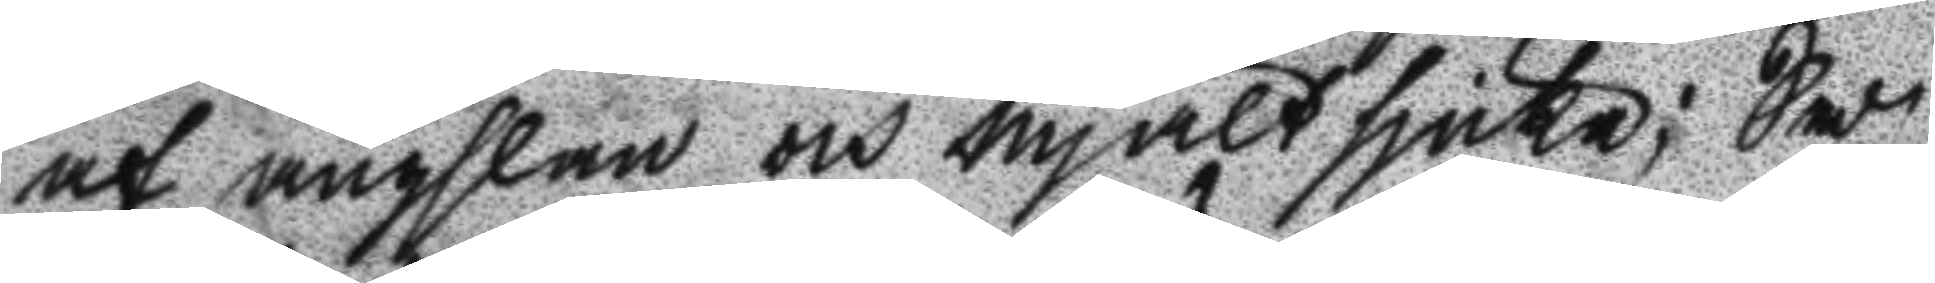af ängslan och mjältsjuka; Så
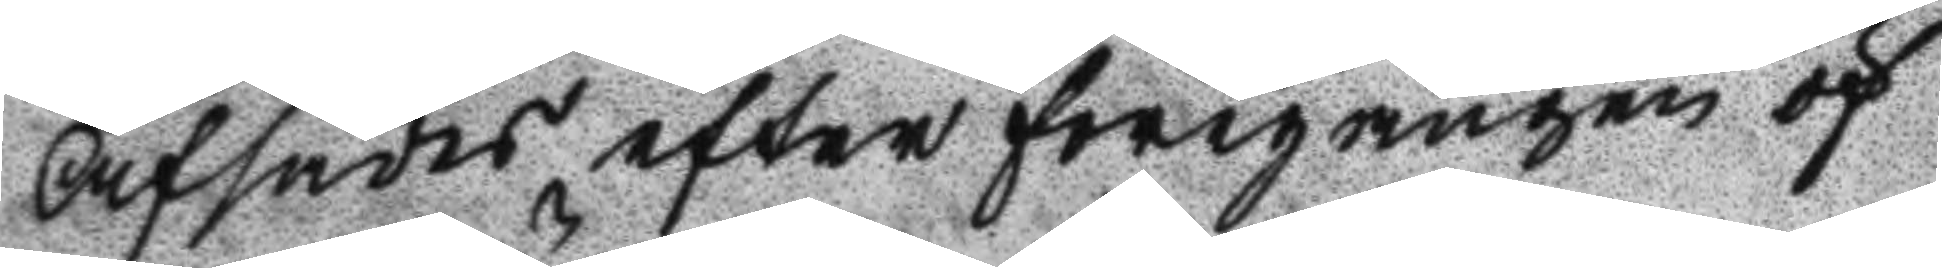Afsades efter föregången öf
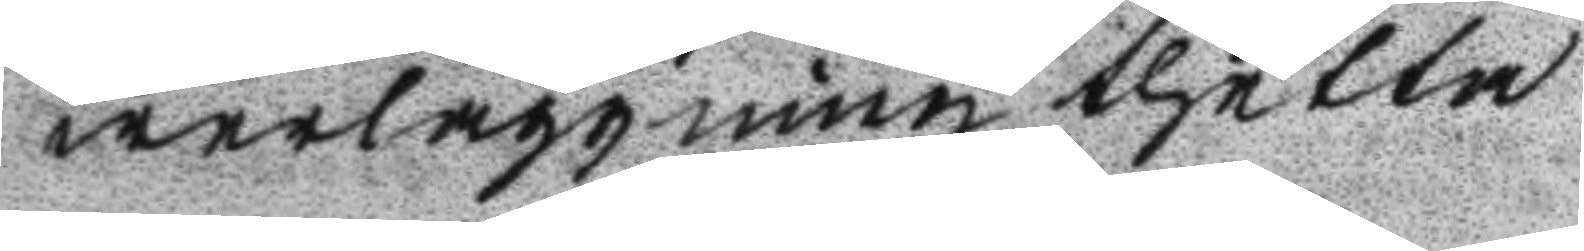werläggning thetta
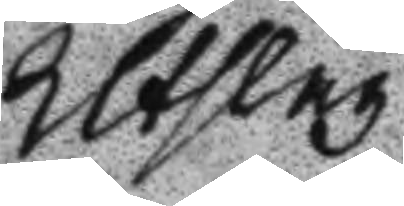Utslag
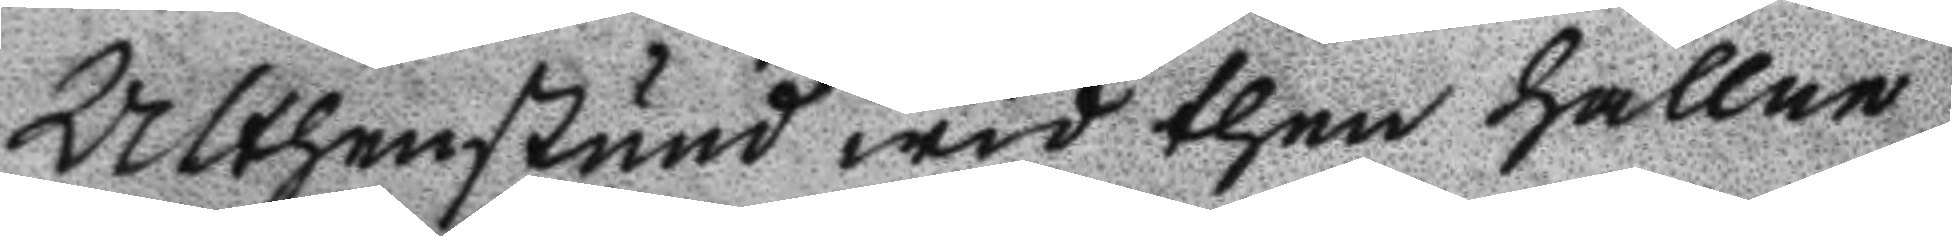Althenstund wid then hållne
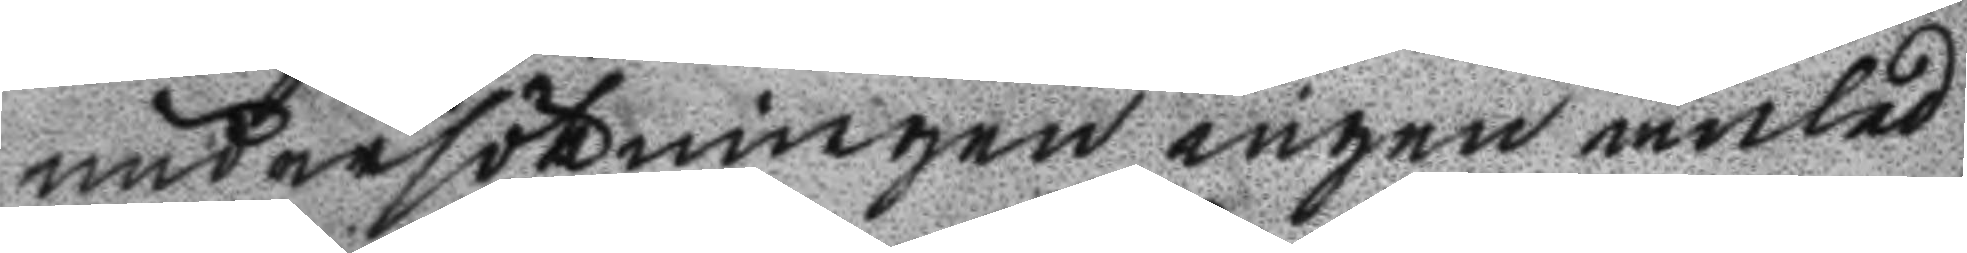undersökningen ingen anled
